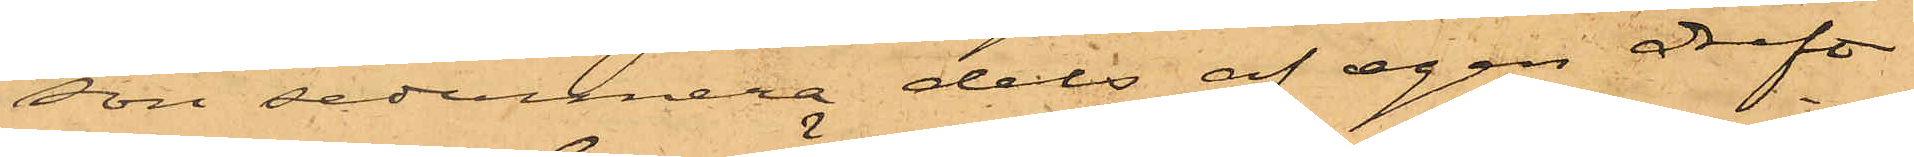son sedermera dels af egen drift
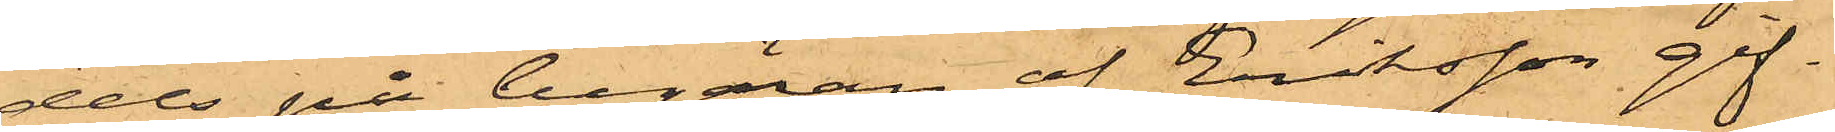dels på begäran af Eriksson gif¬
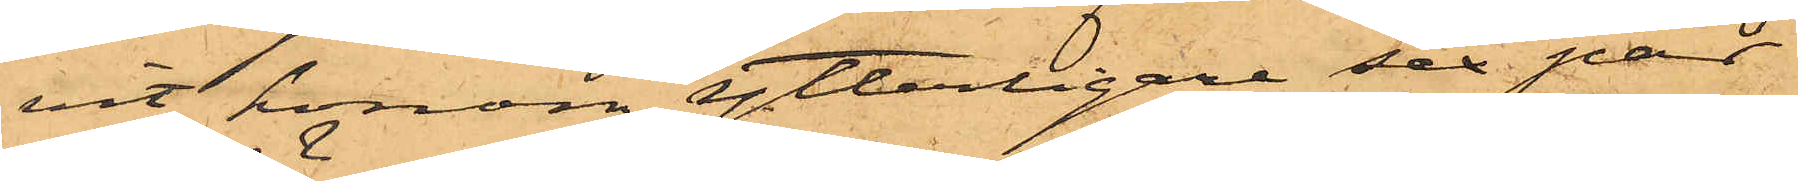vit honom ytterligare sex par
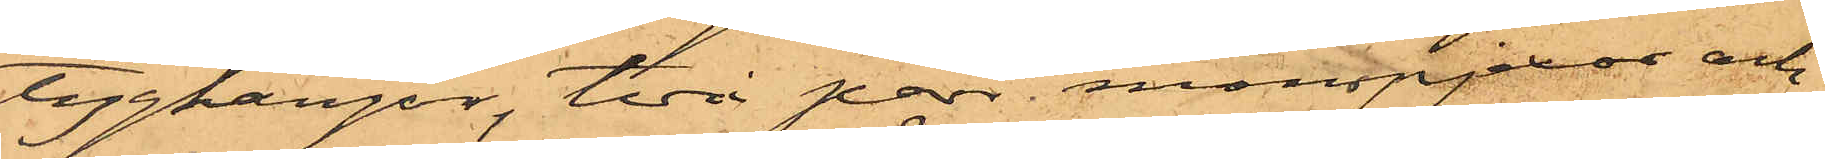tygkängor, två par manspjexor och
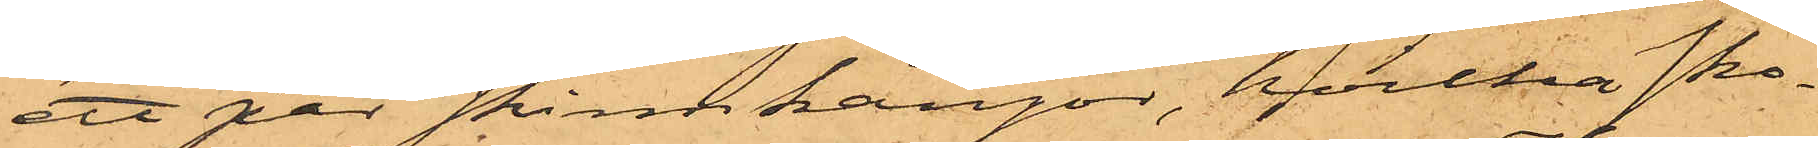ett par skinnkängor, hvilka sko¬
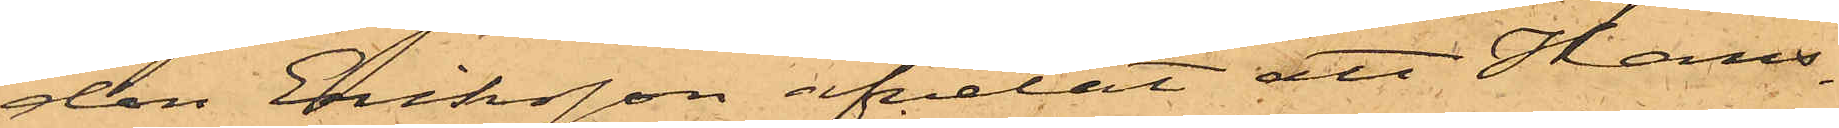don Eriksson afvetat att Hans¬
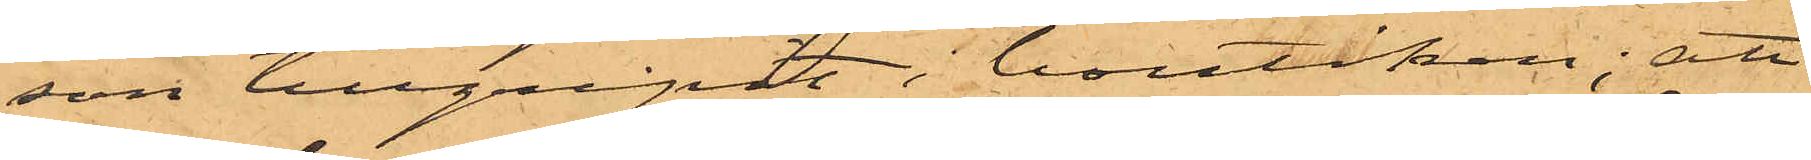son tillgripit i boutiken; att
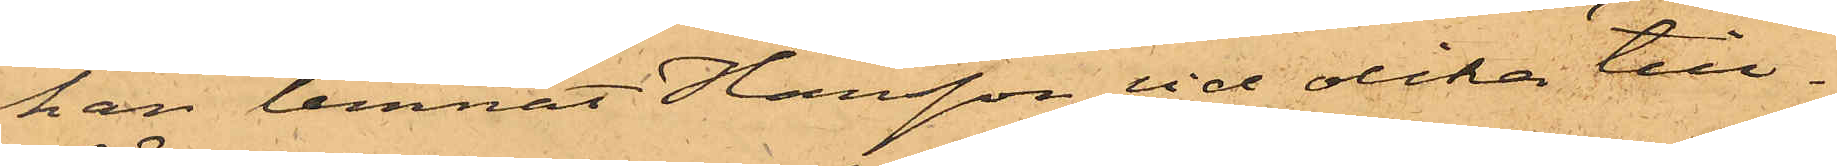han lemnat Hansson vid olika till¬
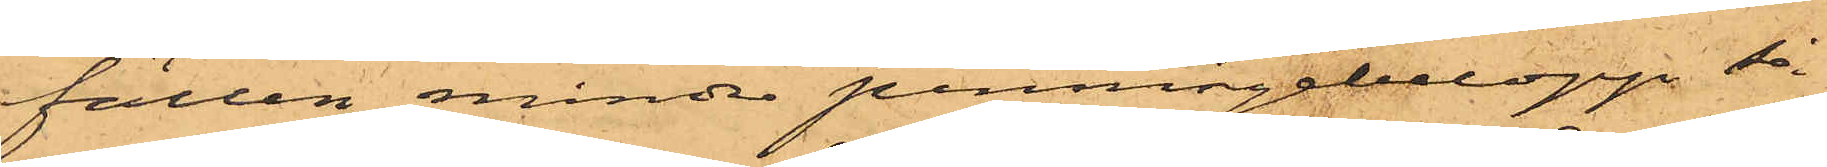fällen mindre penningebelopp så¬
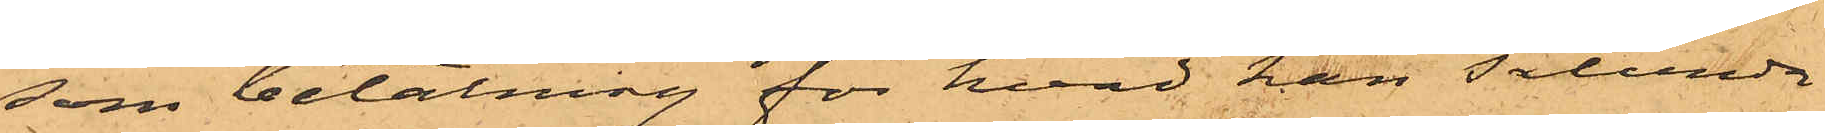som betalning för hvad han sålunda
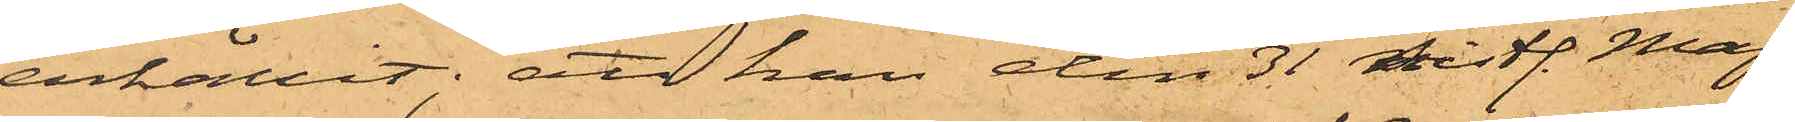erhållit; att han den 31 sistl. Maj
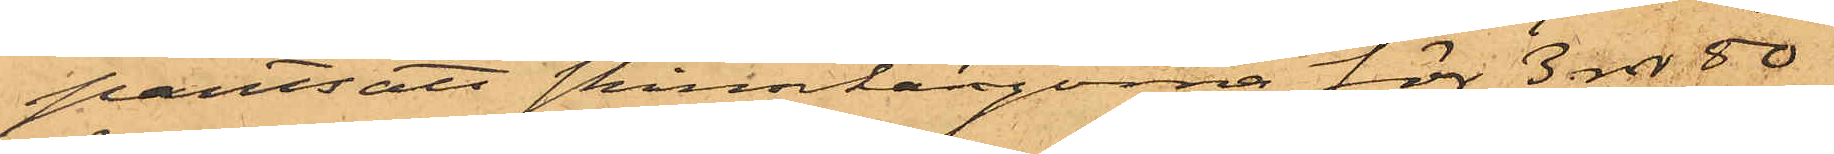pantsatt skinnkängorna för 3 rdr 50
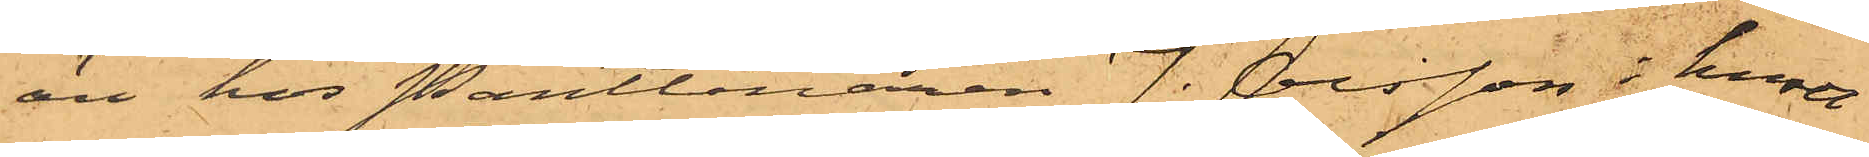öre hos Pantlånaren J. Olsson i huset
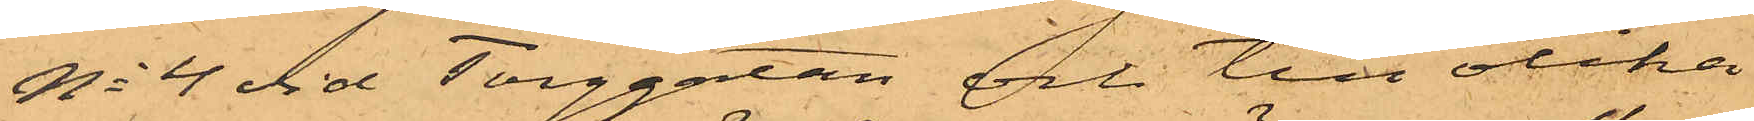No 4 vid Torggatan och till olika
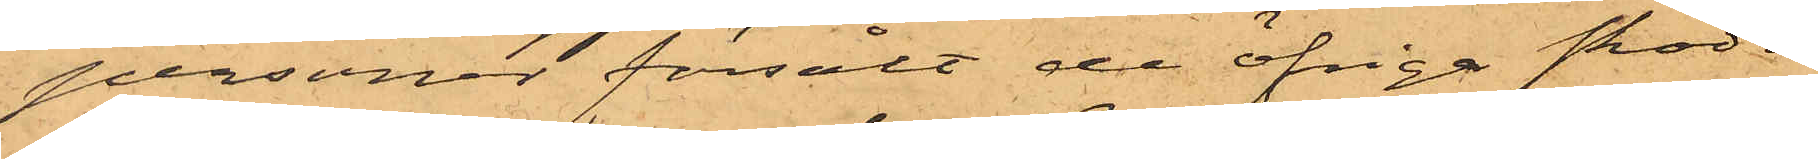personer försålt de öfriga skodo¬
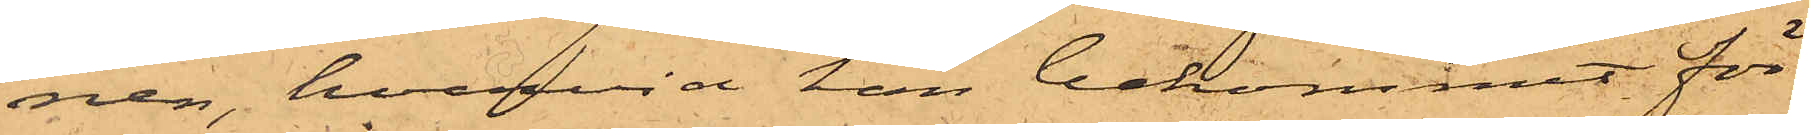nen, hvarvid han bekommit för
